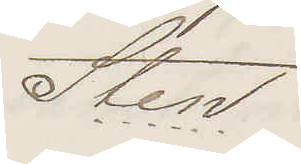Sten
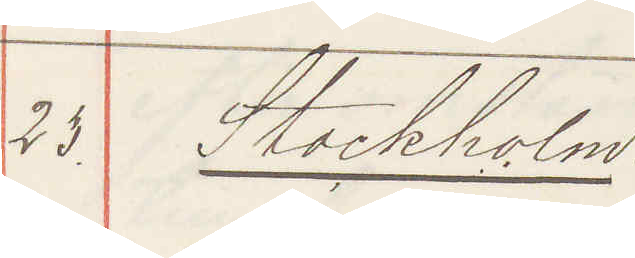25. Stockholm:
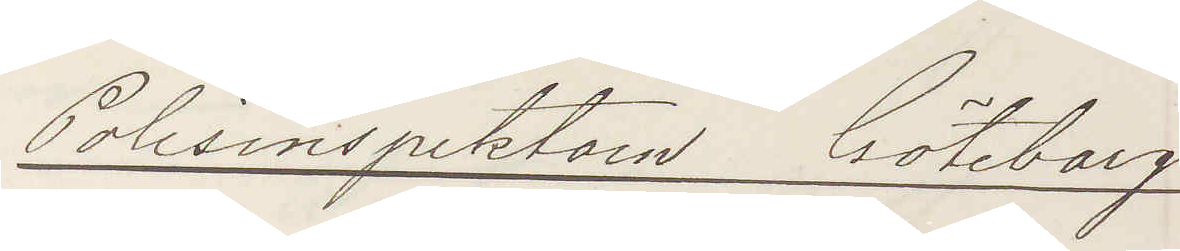Polisinspektorn Göteborg.
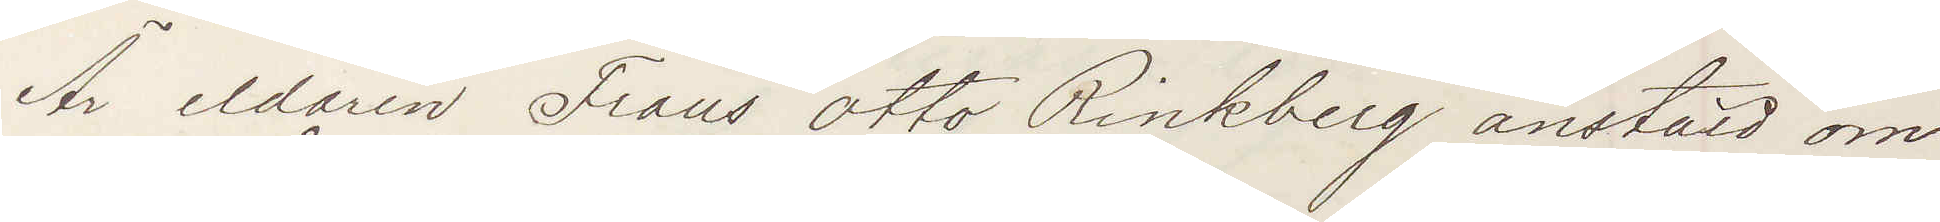Är eldaren Frans Otto Rinkberg anstäld om¬
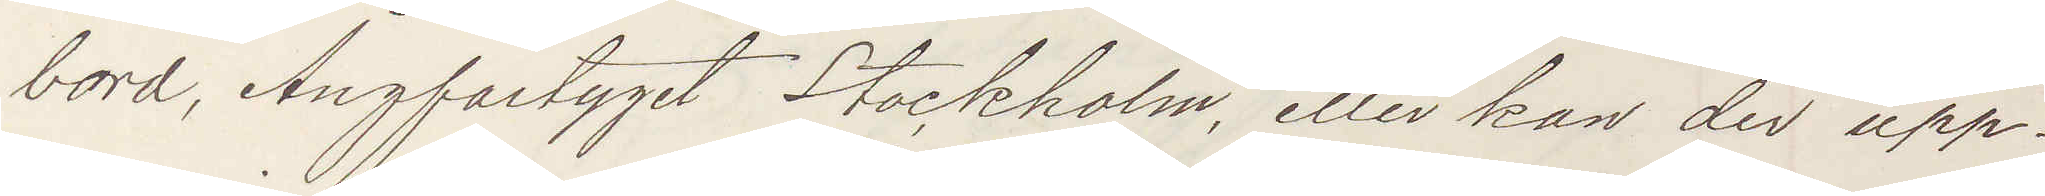bord, Ångfartyget Stockholm, eller kan der upp¬
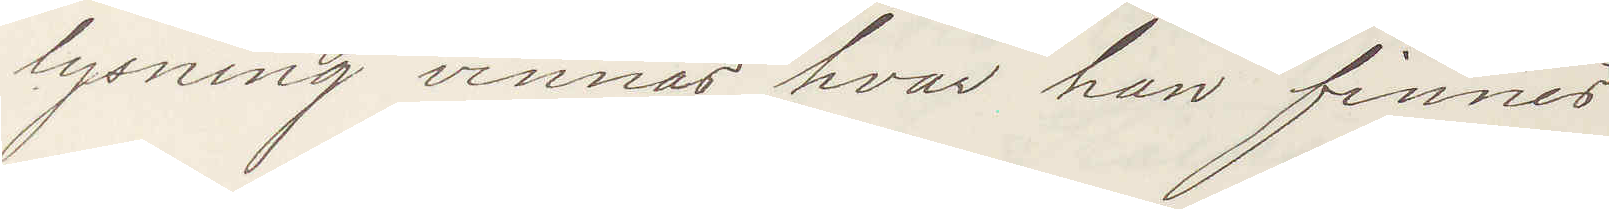lysning vinnas hvar han finnes.
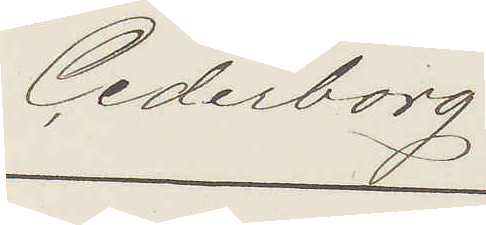Cederborg
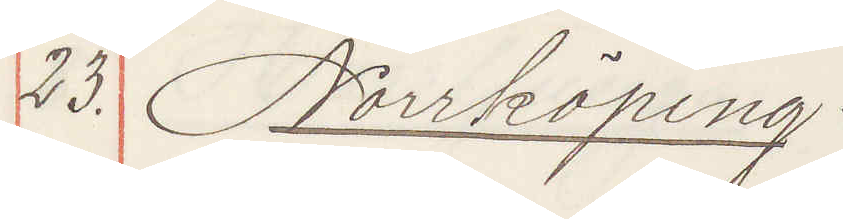23. Norrköping:
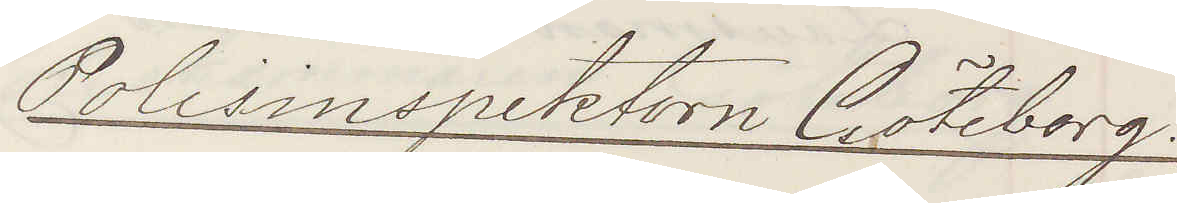Polisinspektorn Göteborg.
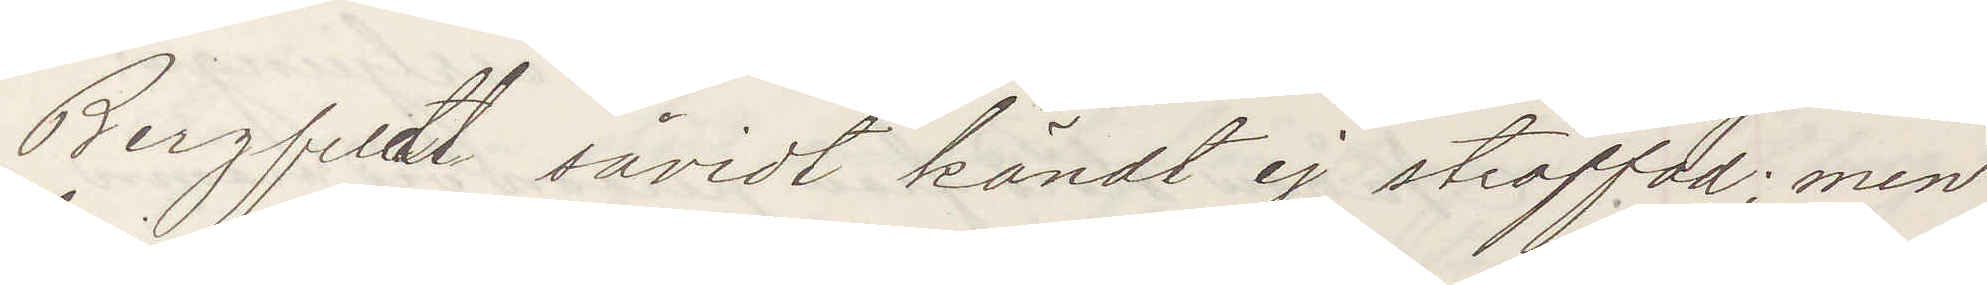Bergfeldt såvidt kändt ej straffad; men
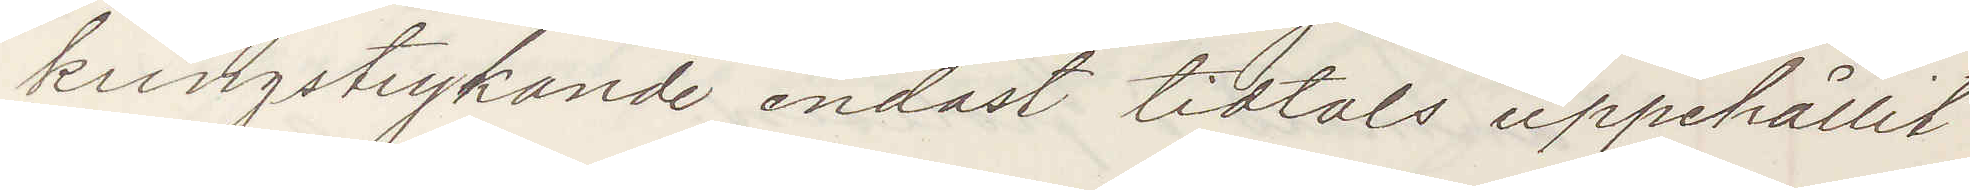kringstrykande endast tidtals uppehållit
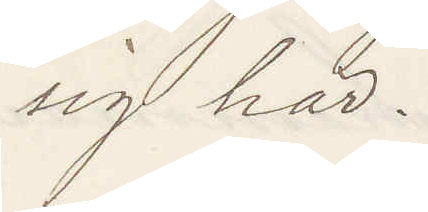sig här.
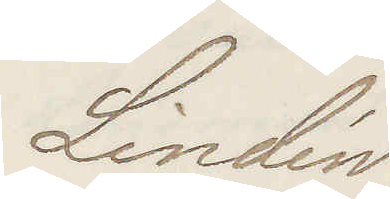Lindén
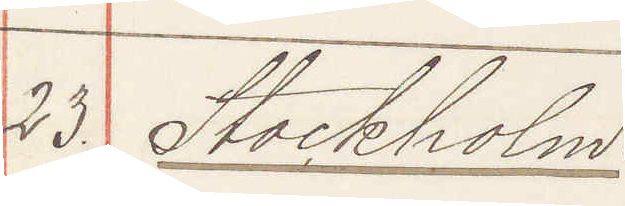23. Stockholm.
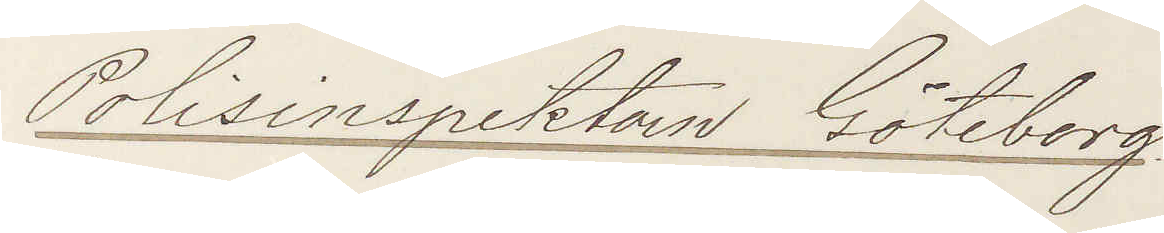Polisinspektorn Göteborg.
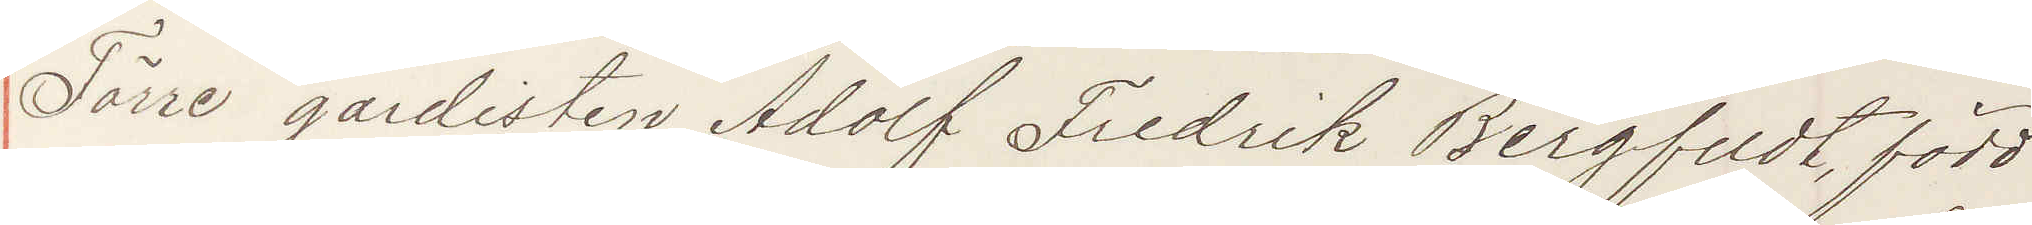Förre gardisten Adolf Fredrik Bergfeldt, född
